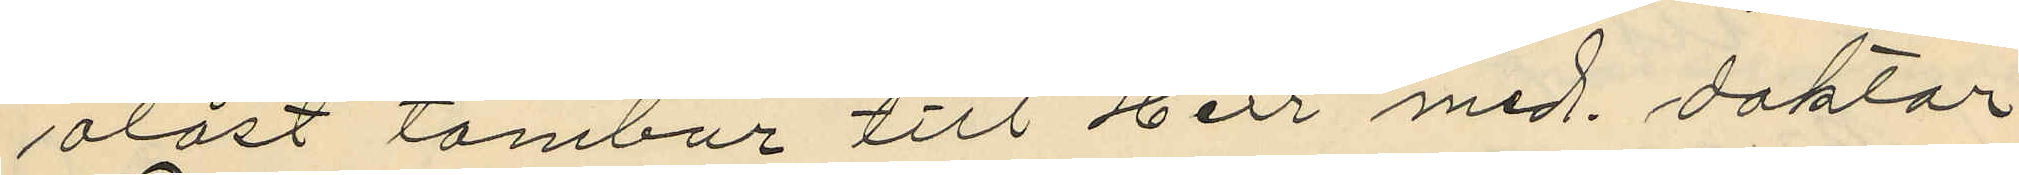olåst tambur till Herr med doktor
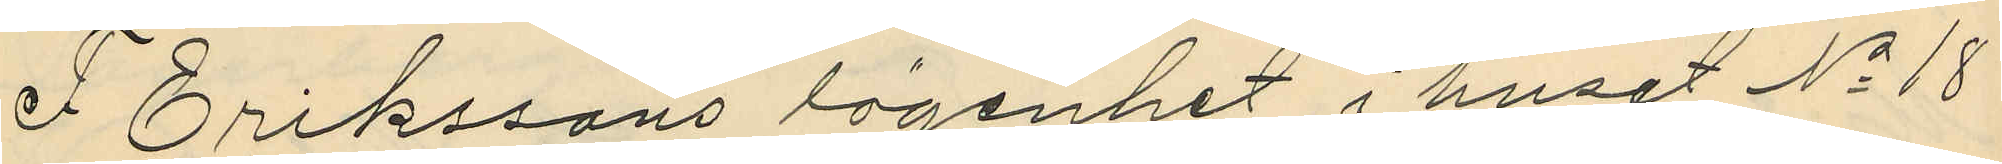F. Erikssons lägenhet i huset No 18
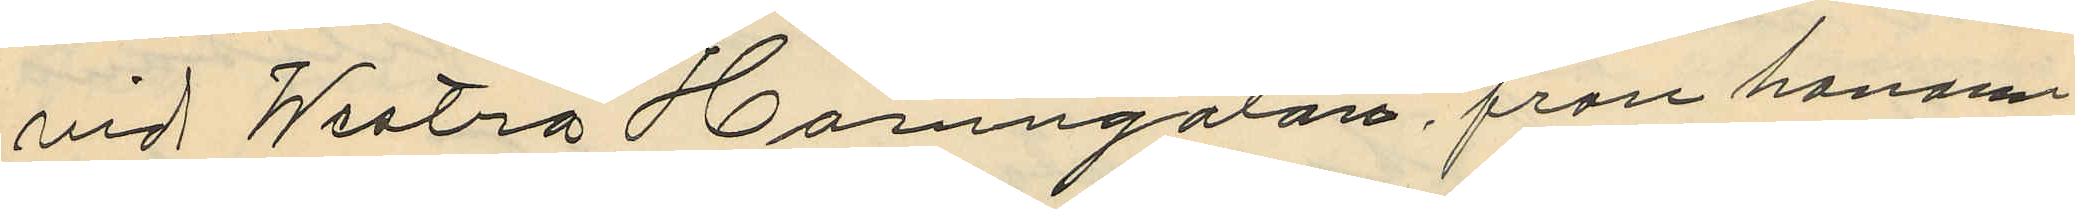vid Westra Hamngatan, från honom
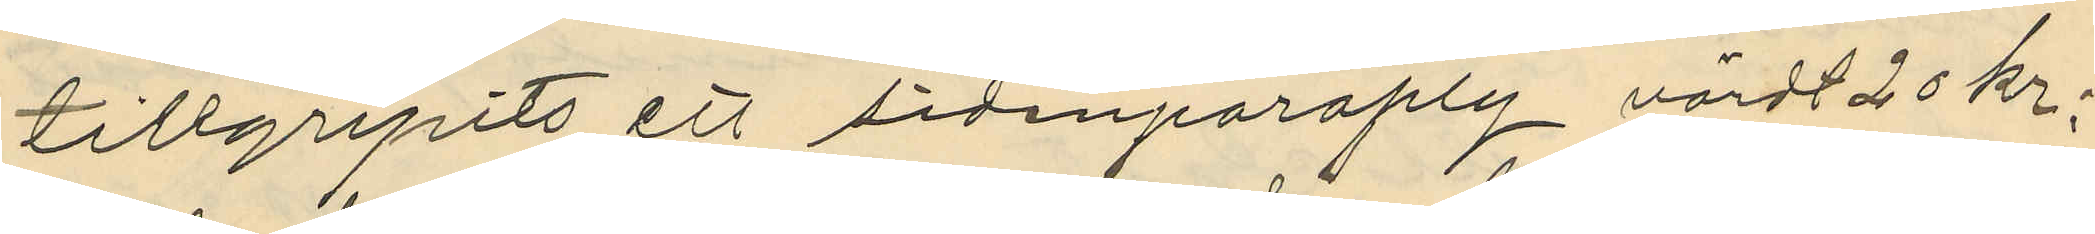tillgripits ett sidenparaply värdt 20 kr.
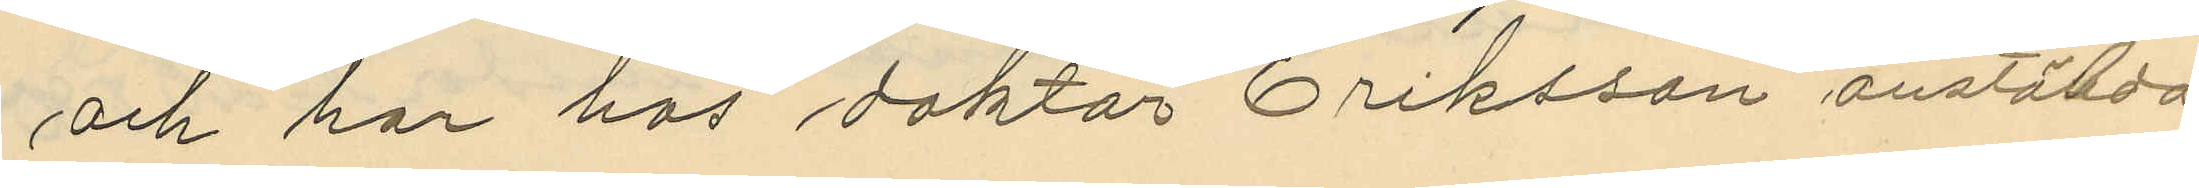och har hos doktor Eriksson anställda
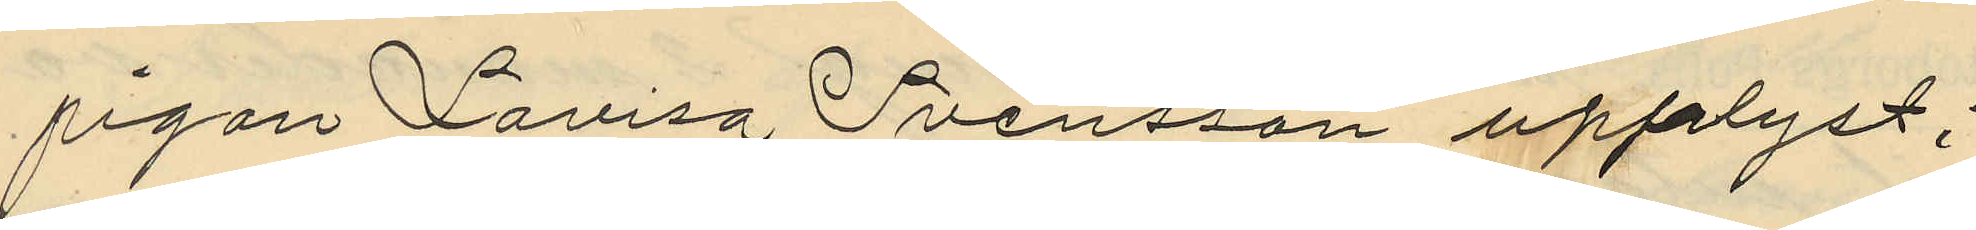pigan Lovisa Svensson upplyst:
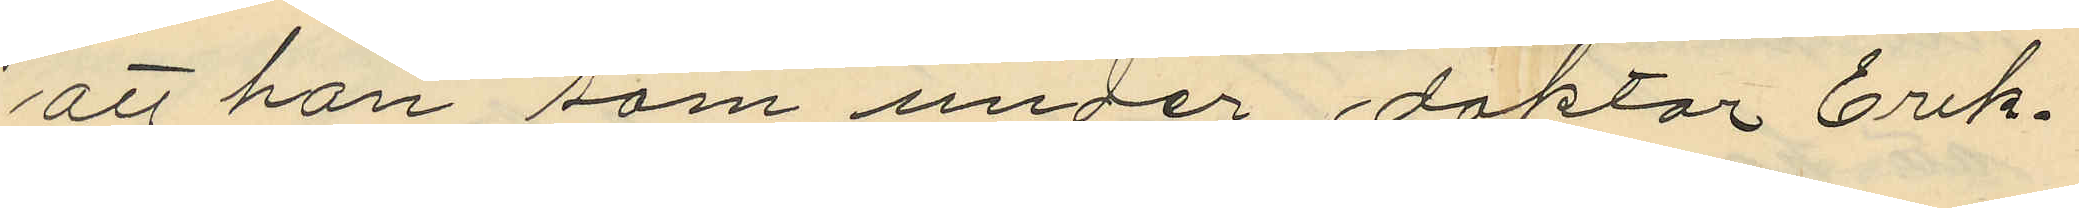att hon som under doktor Erik¬
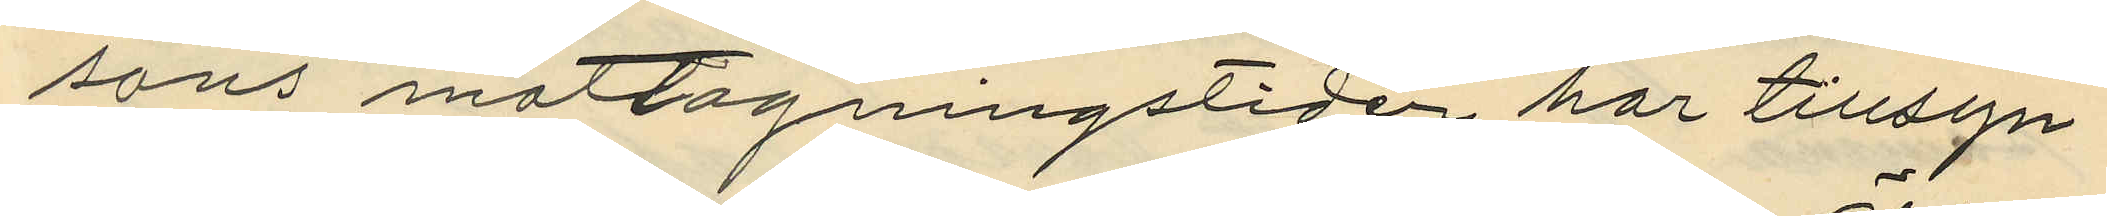sons mottagningstider har tillsyn
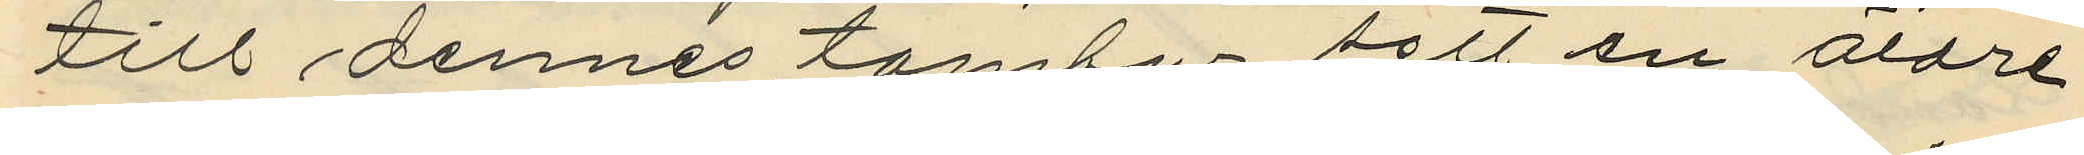till dennes tambur sett en äldre
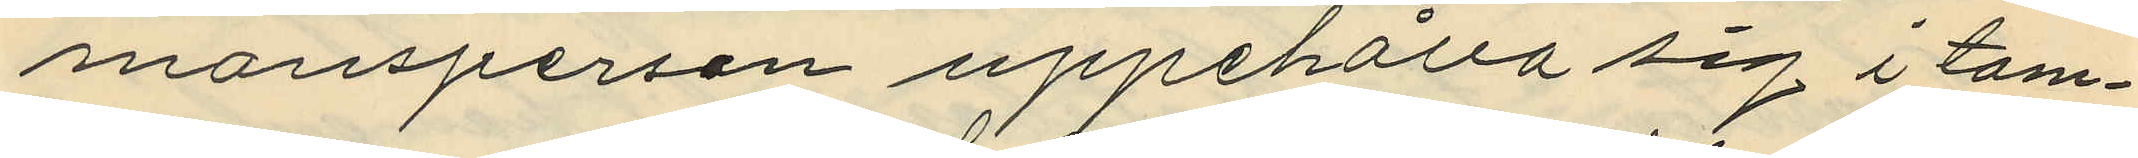manspersen uppehålla sig i tam¬
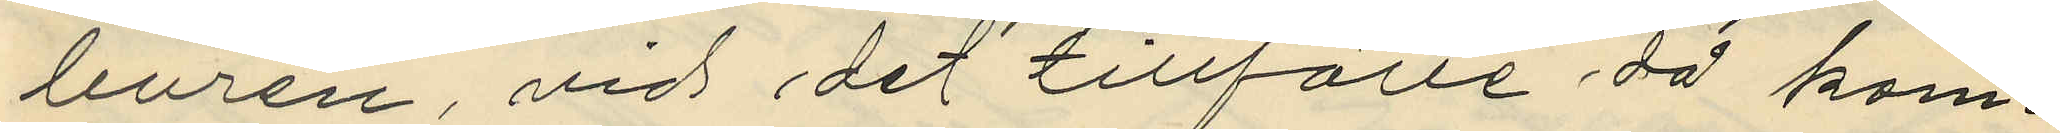buren, vid det tillfälle då kam¬
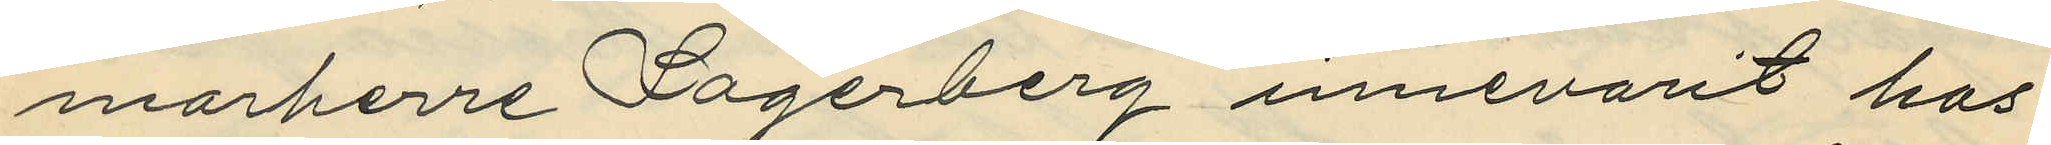marherre Lagerberg innevarit hos
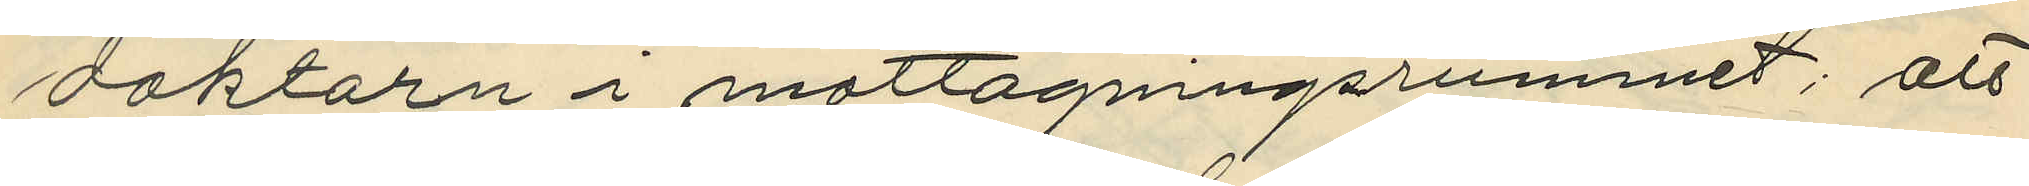doktorn i mottagningsrummet; att
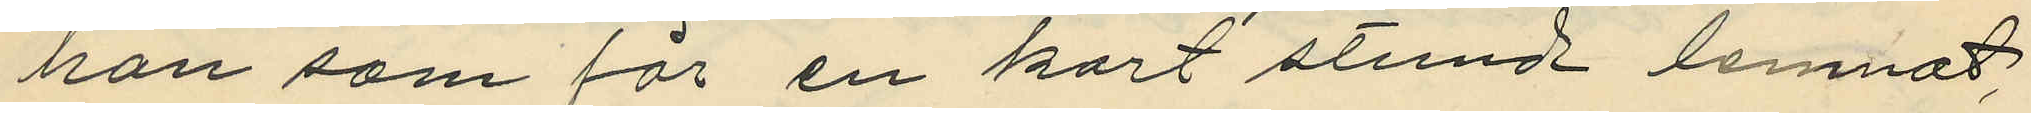hon som för en kort stund lemnat
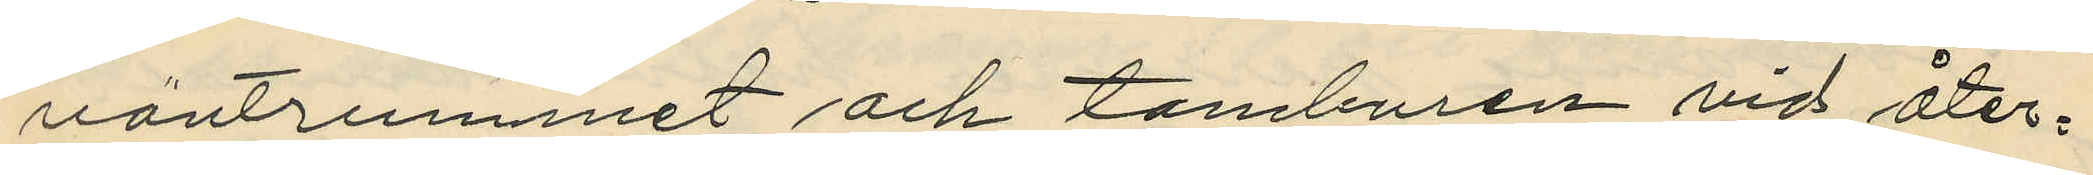väntrummet och tamburen vid åter¬
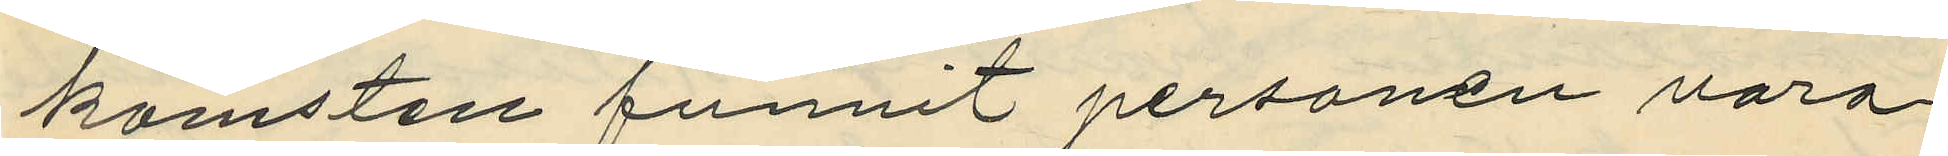komsten funnit personen vara
